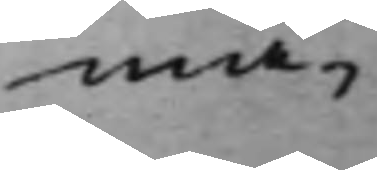mä¬
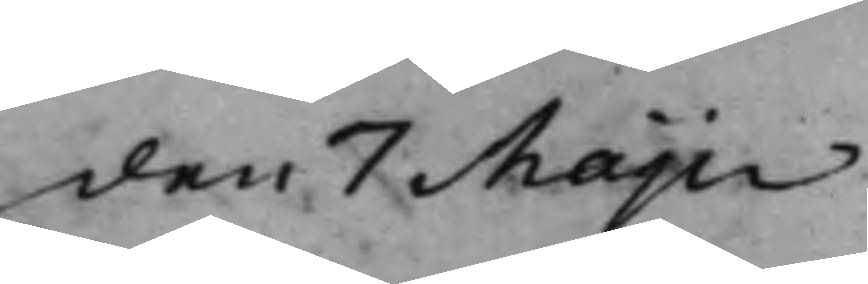den 7 Maji
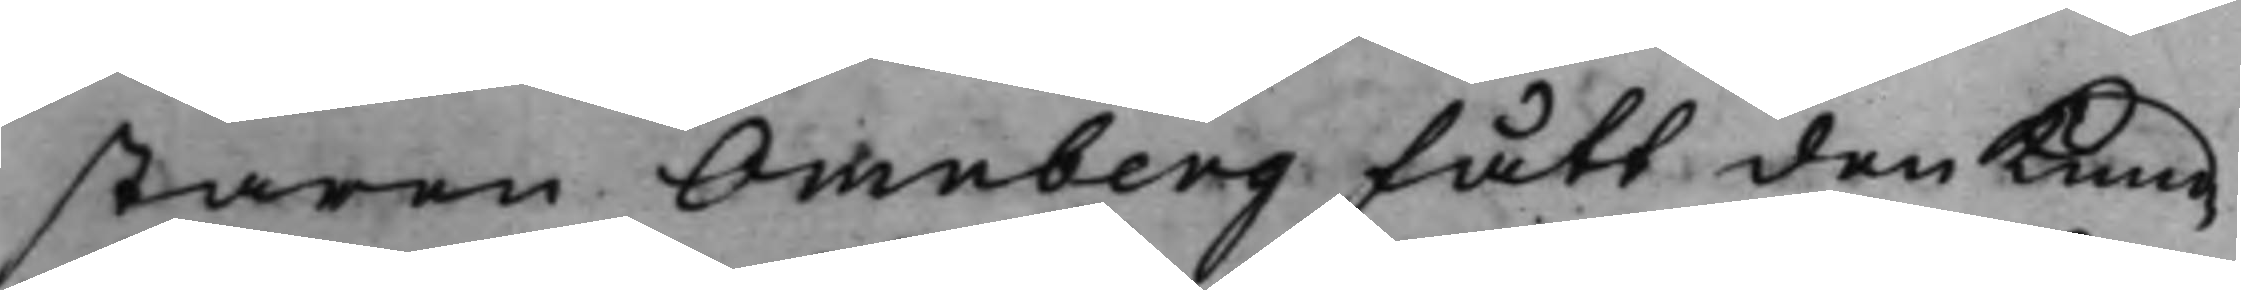staren Omnberg fått den Kund¬
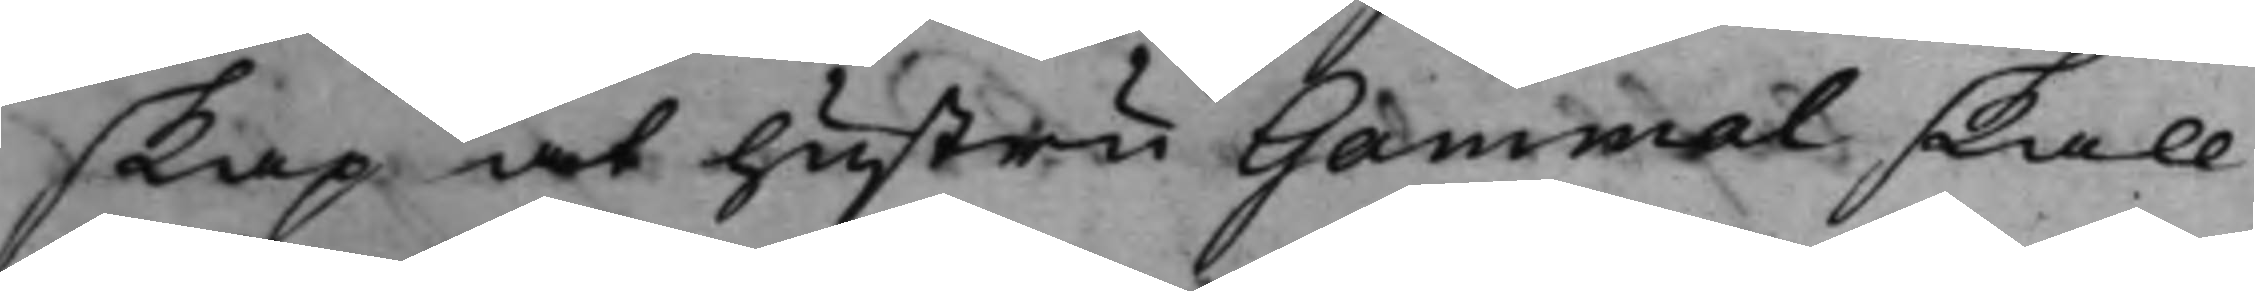skap at hustru Gammal skall
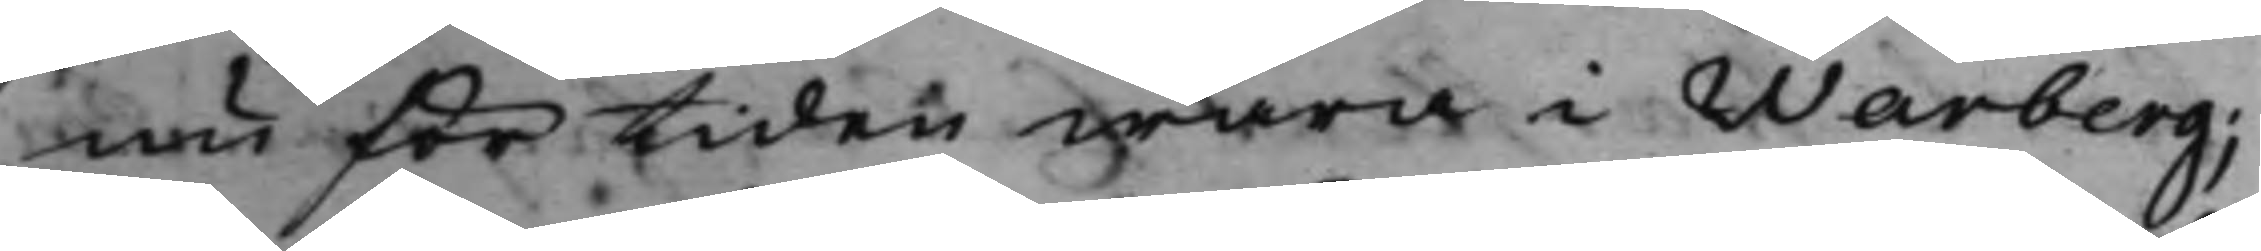nu för tiden wara i Warberg;
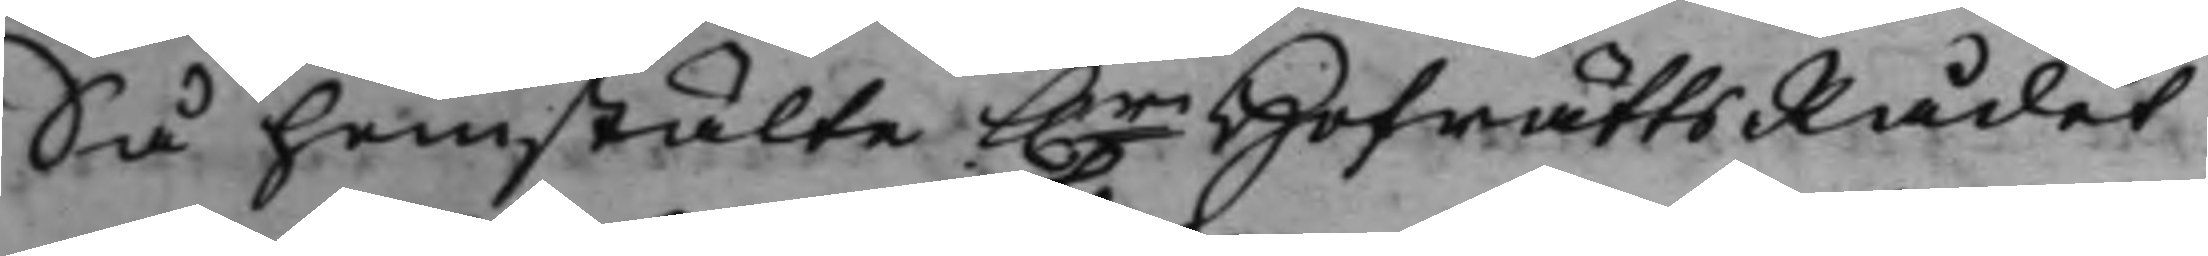Så hemstälte h.r HofrättsRådet
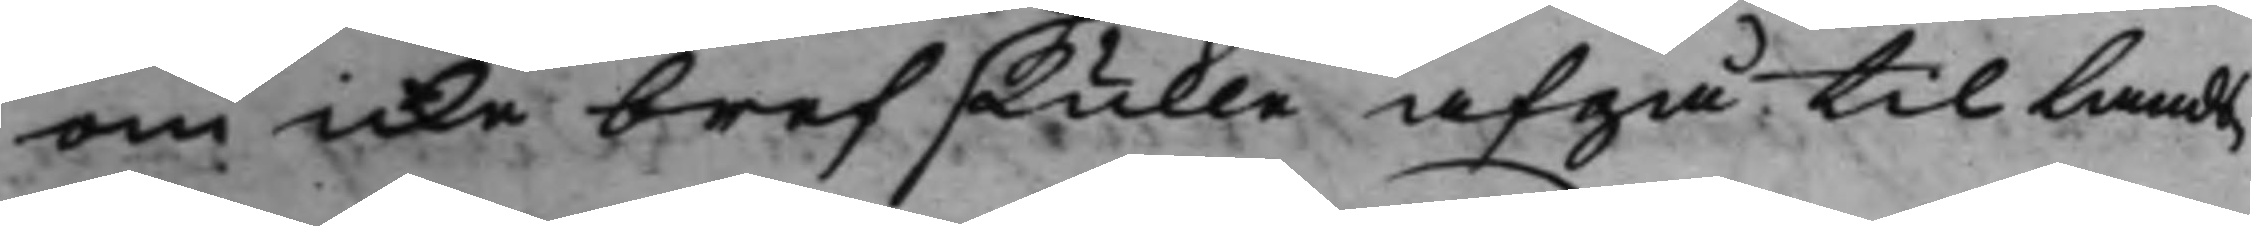om icke bref skulle afgå til Lands¬
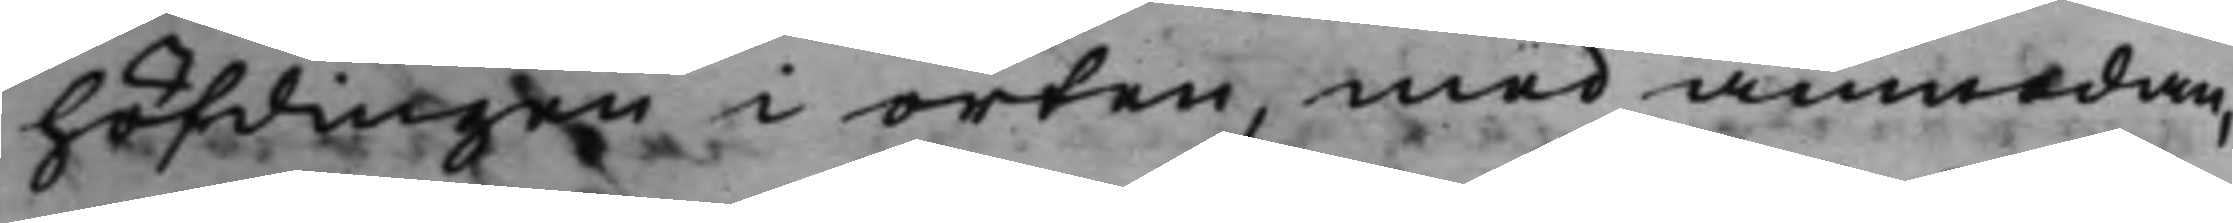höfdingen i orten, med anmodan
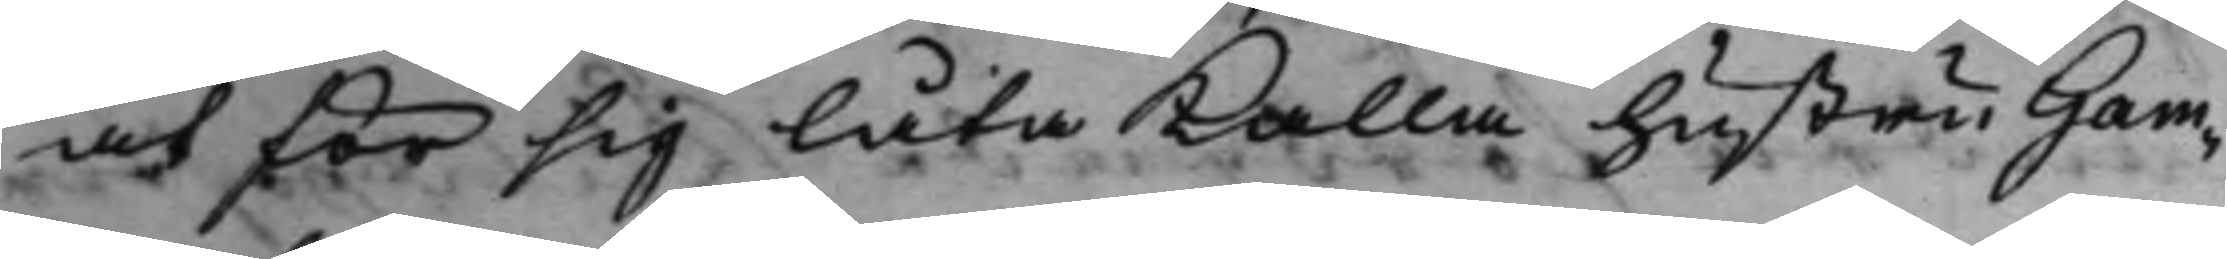at för sig låta Kalla hustru Gam¬
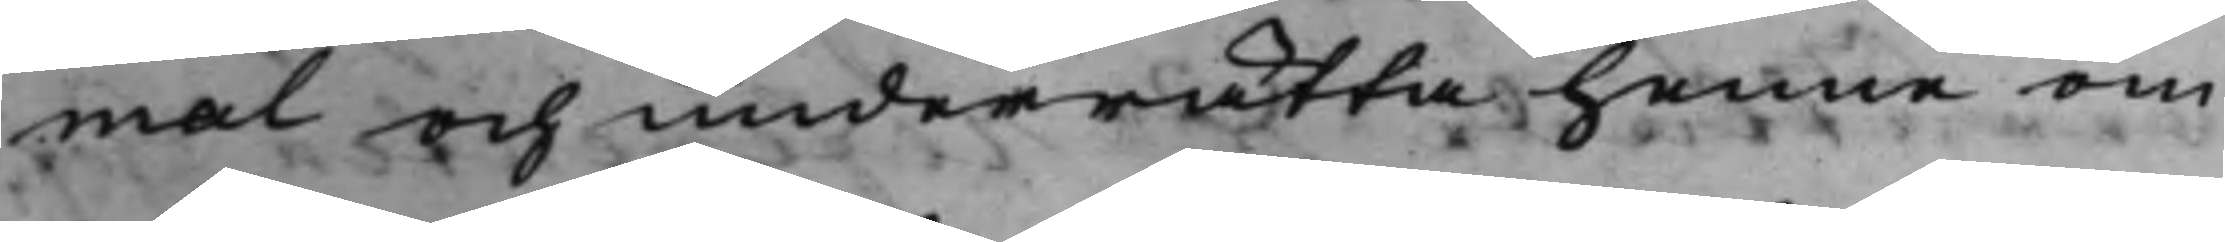mal och underrätta henne om
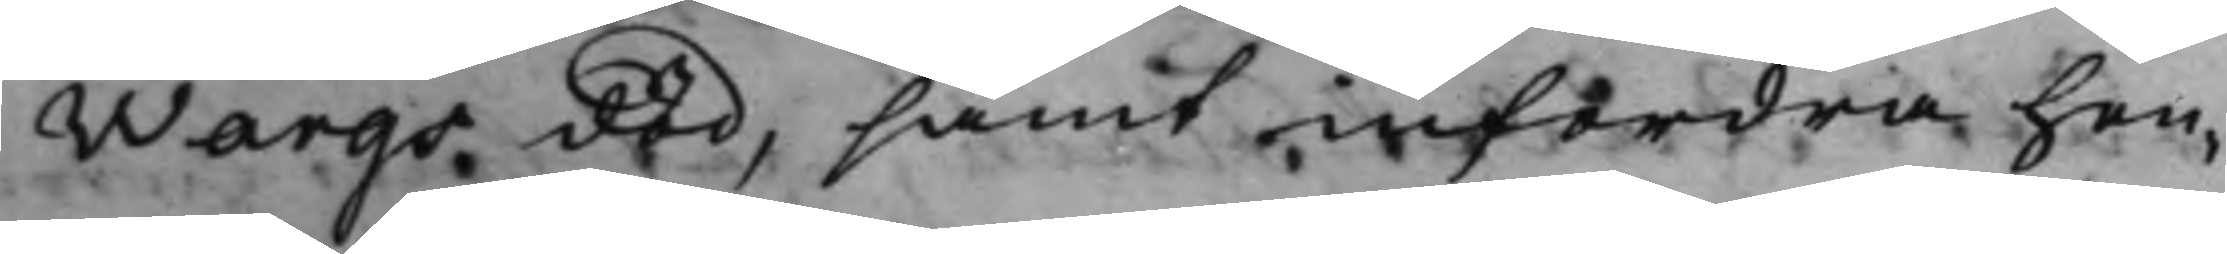Wargs död, samt infordra hen¬
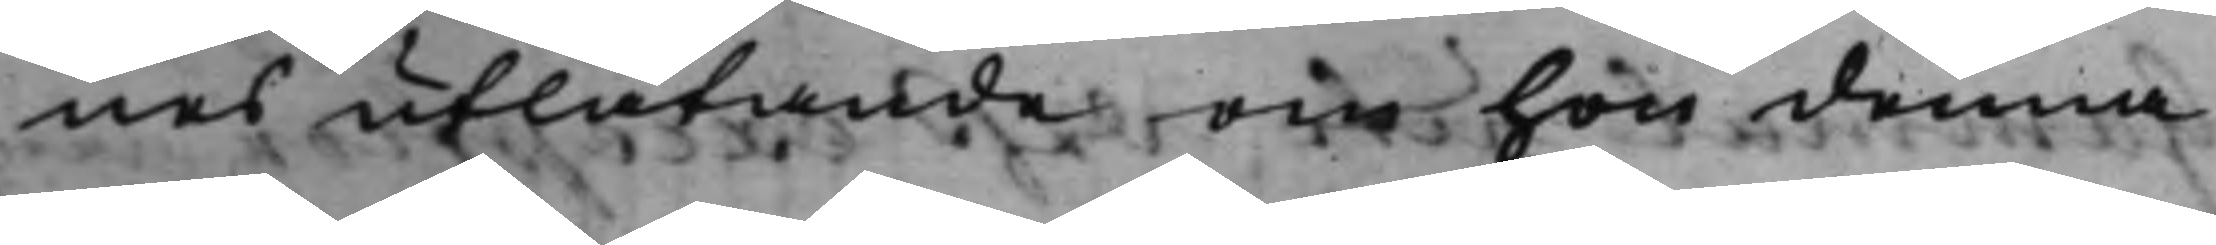nes utlåtande om hon denna
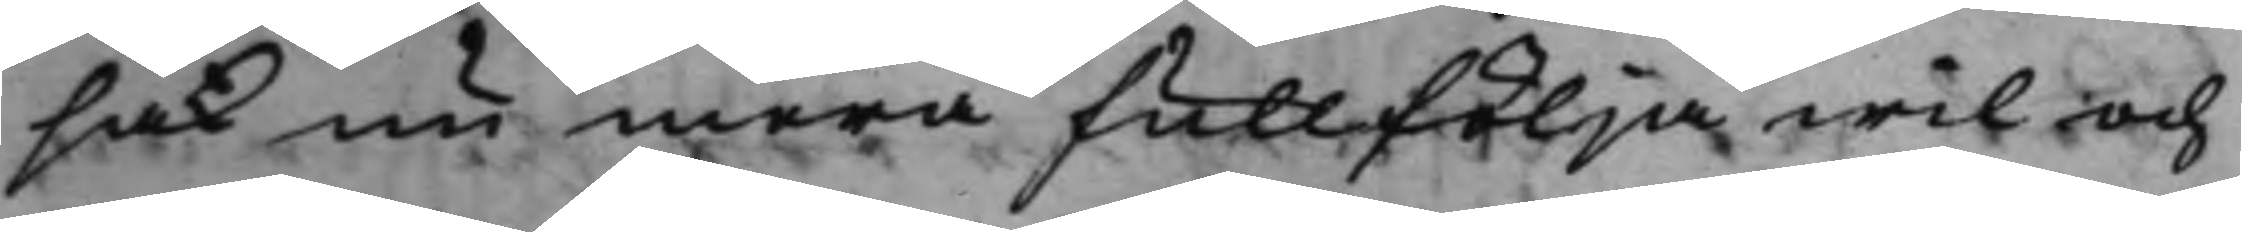sak nu mera fullfölja wil och
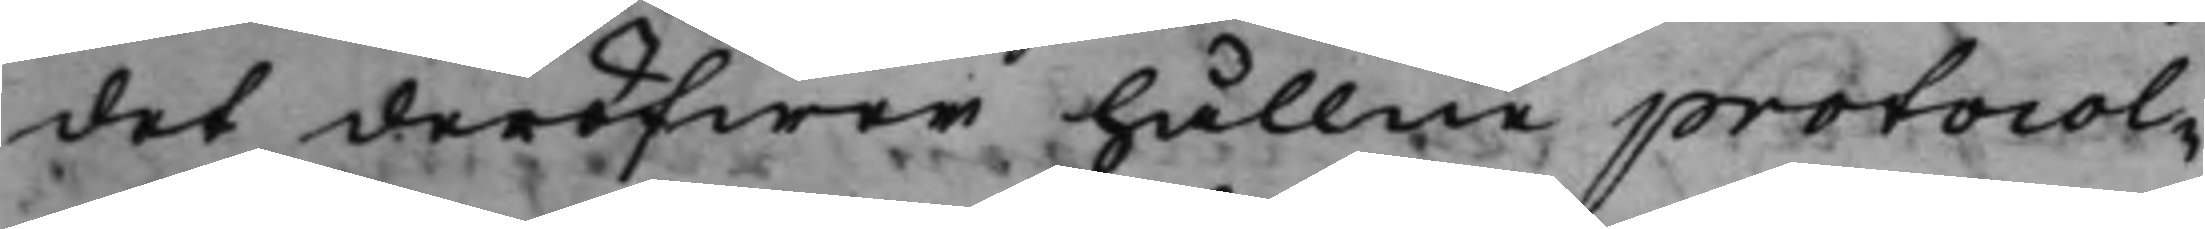det deröfwer hållne protocol¬
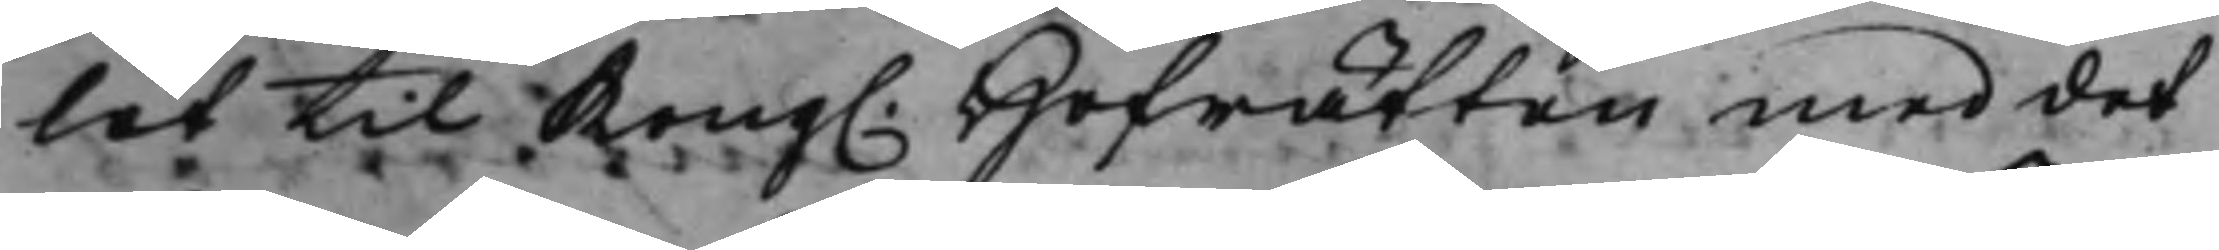let til Kong. Hofrätten med det
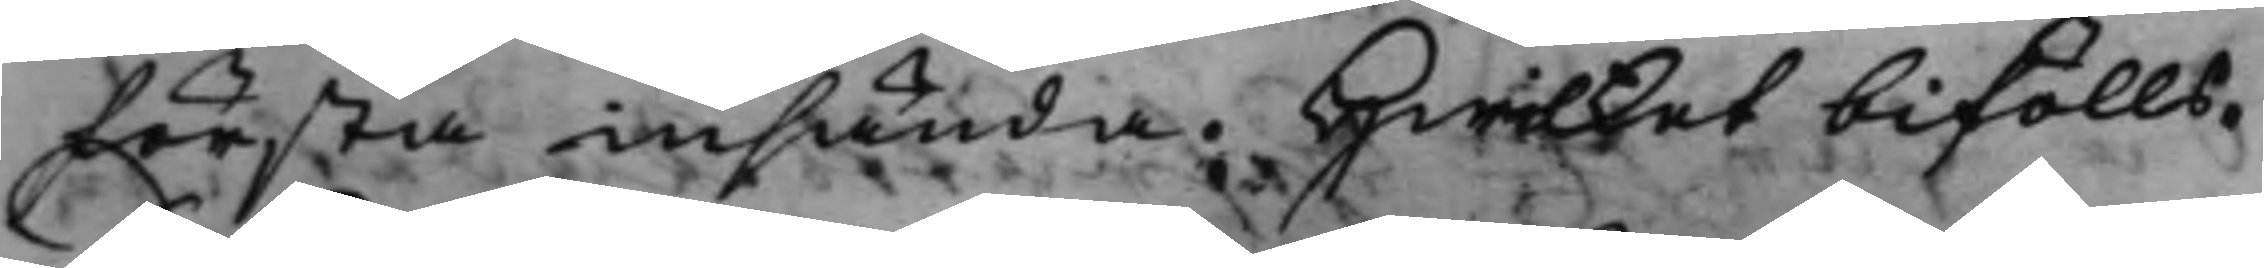första insända. Hwilket bifölls. 
